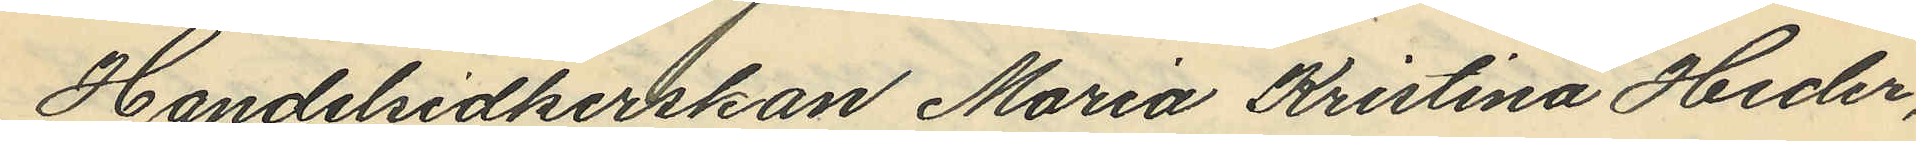Handelsidkerskan Maria Kristina Heder,
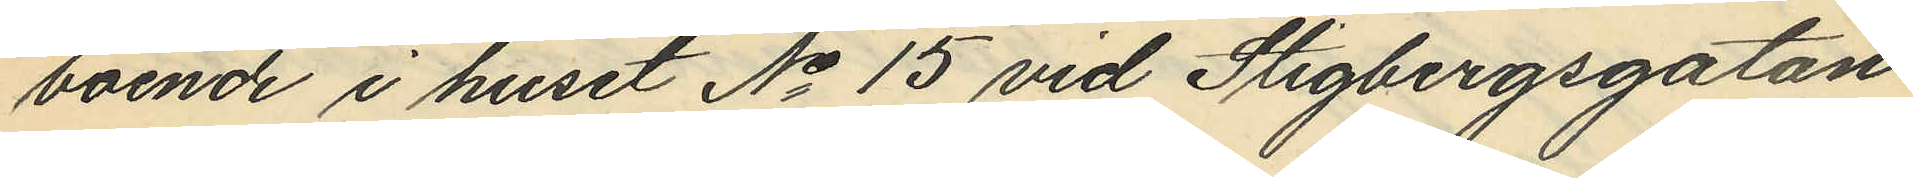boende i huset No 15 vid Stigbergsgatan
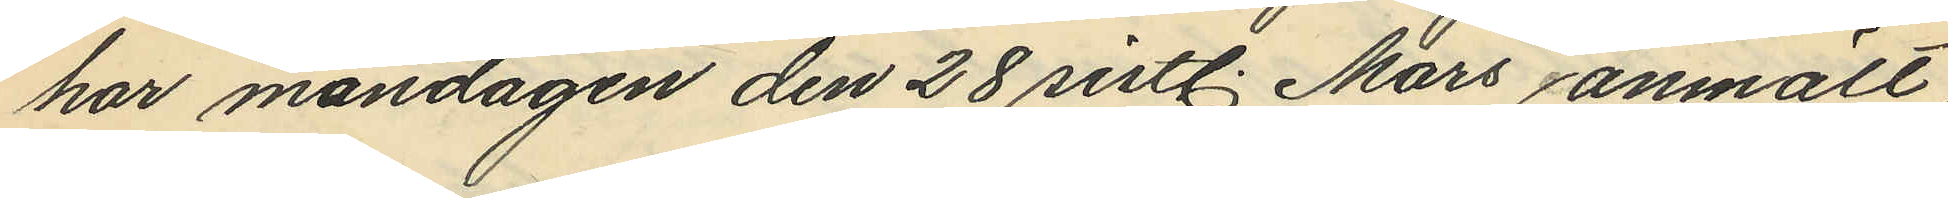har måndagen den 28 sistl. Mars anmält,
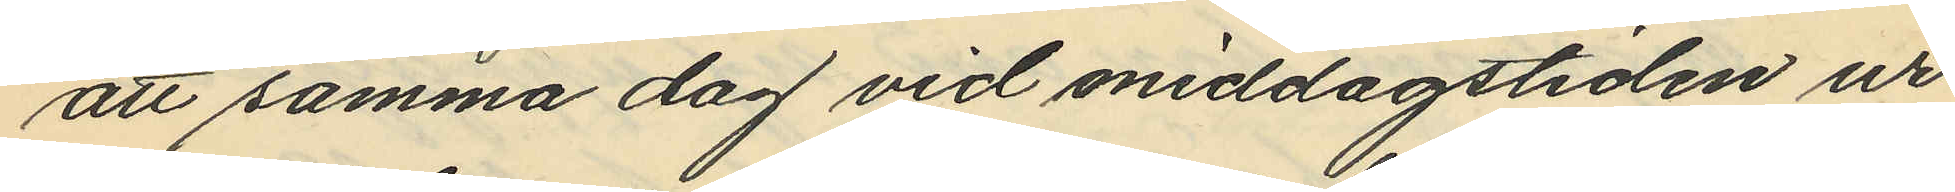att samma dag vid middagstiden ur
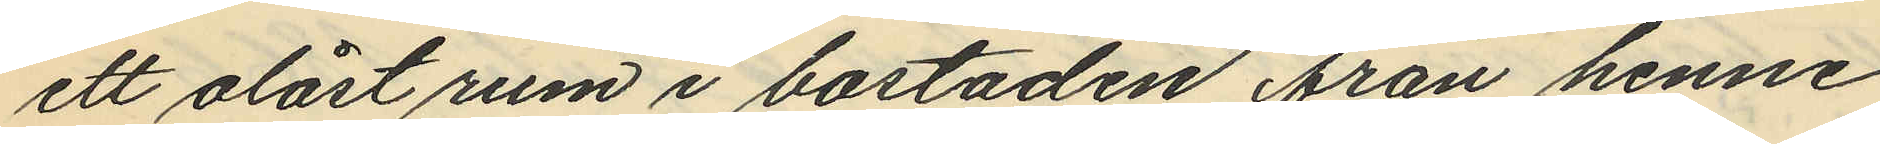ett olåst rum i bostaden från henne
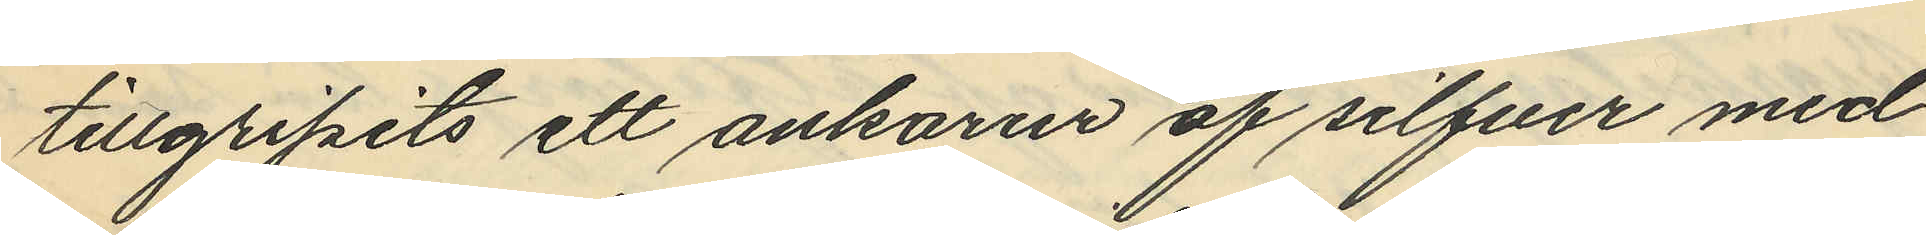tillgripits ett ankarur af silfver med
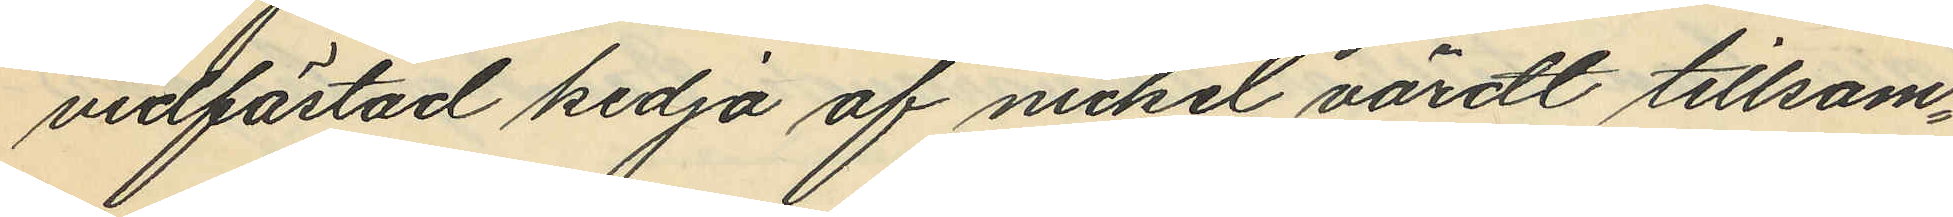vidfästad kedja af nickel värdt tillsam¬
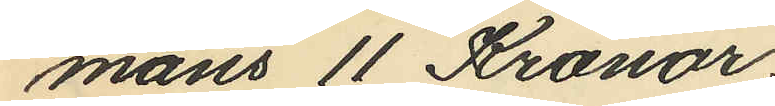mans 11 Kronor.
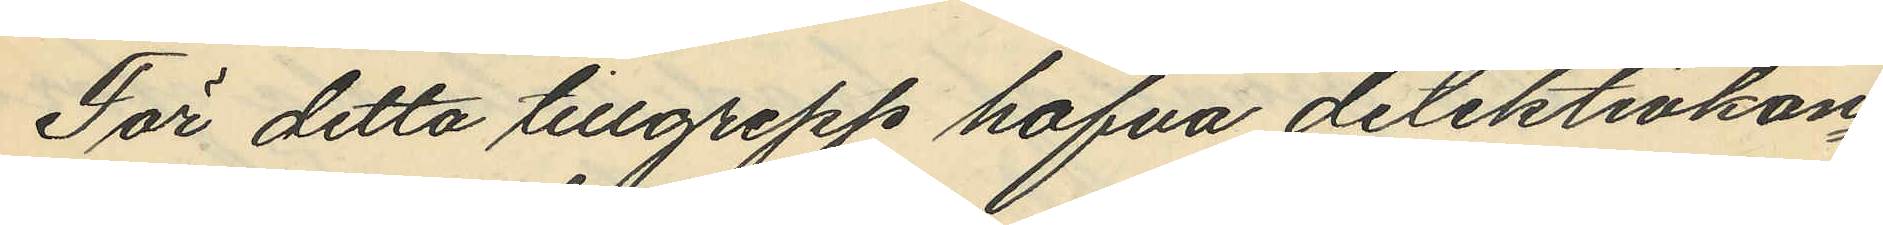För detta tillgrepp hafva detektivkon¬
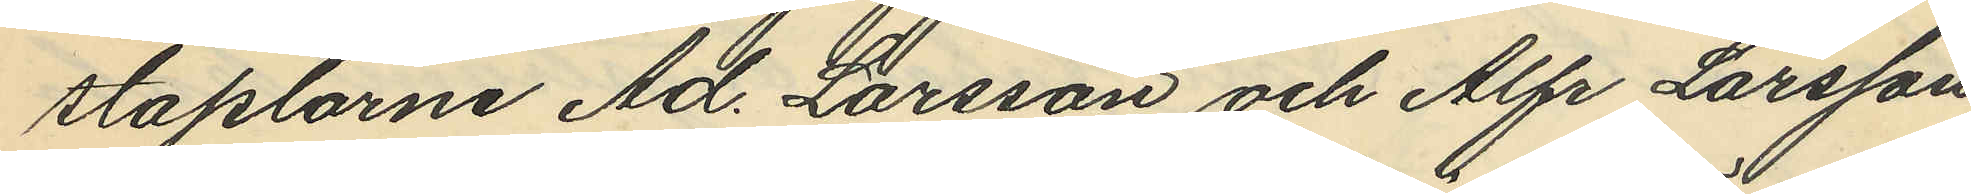staplarne Ad. Larsson och Alfr Larsson
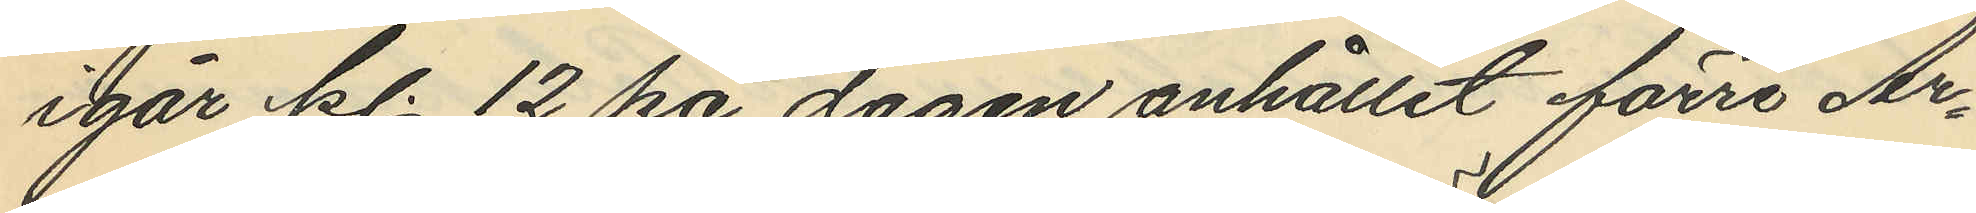igår kl. 12 på dagen anhållit förre Ar¬
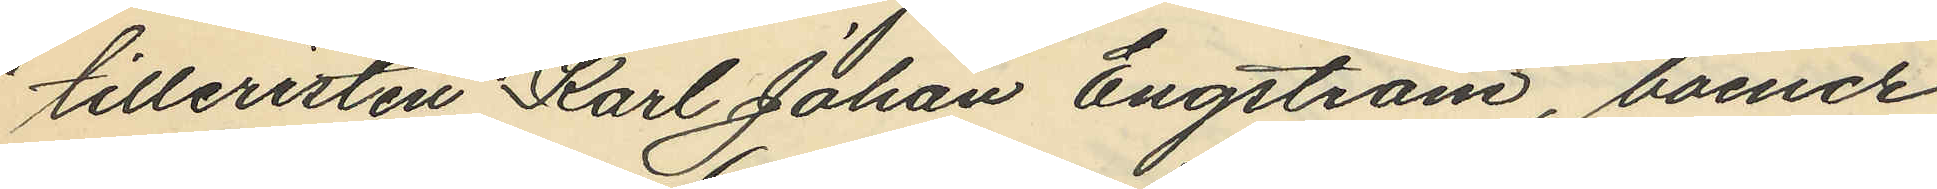tilleristen Karl Johan Engström, boende
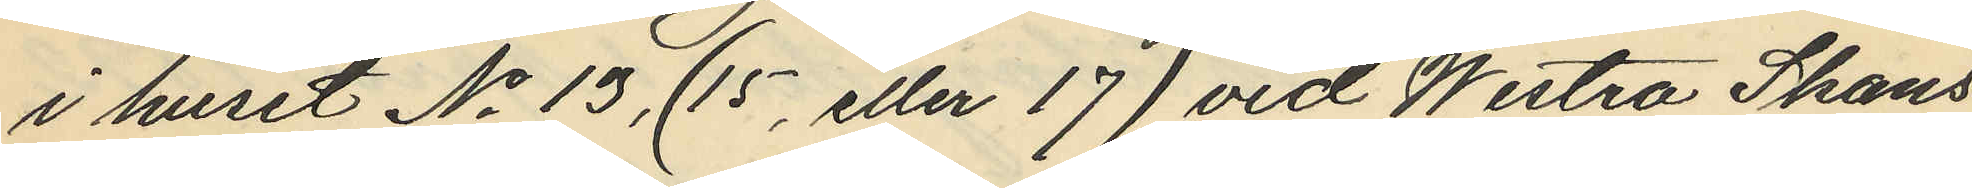i huset No 13, (15, eller 17) vid Westra Skans
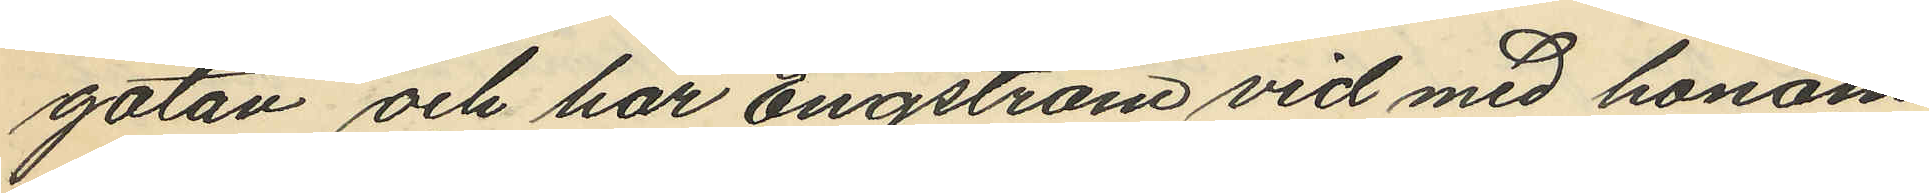gatan och har Engström vid med honom
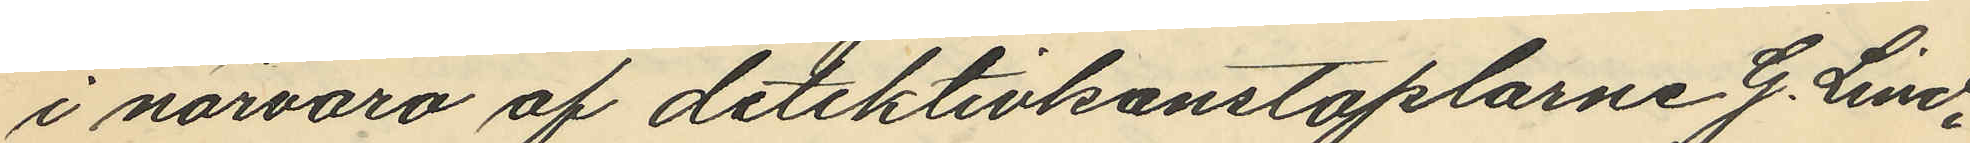i närvaro af detektivkonstaplarne G. Lind¬
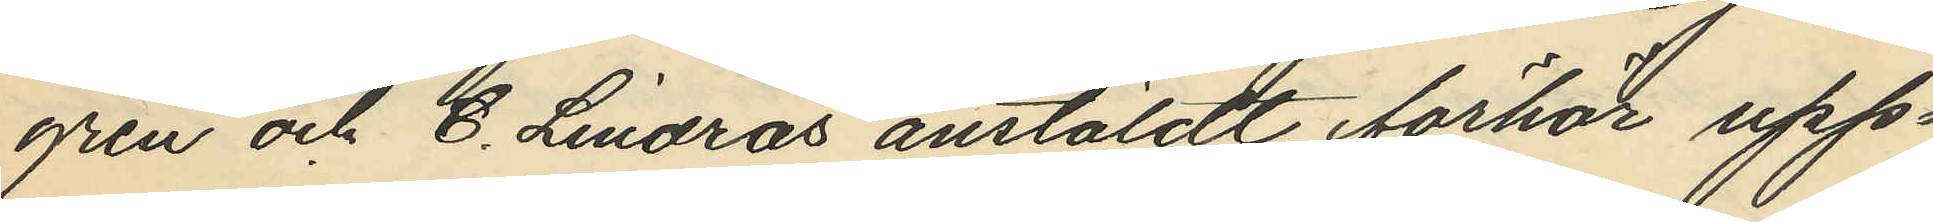gren och C. Lindros anstäldt förhör upp¬
